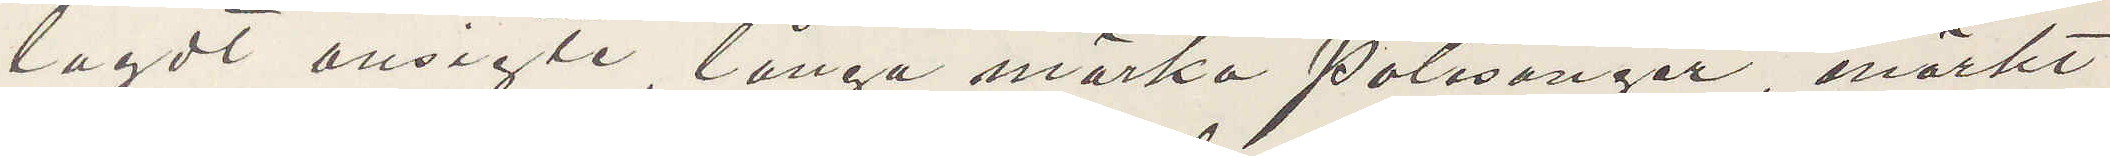lagdt ansigte, långa mörka polisongar, mörkt
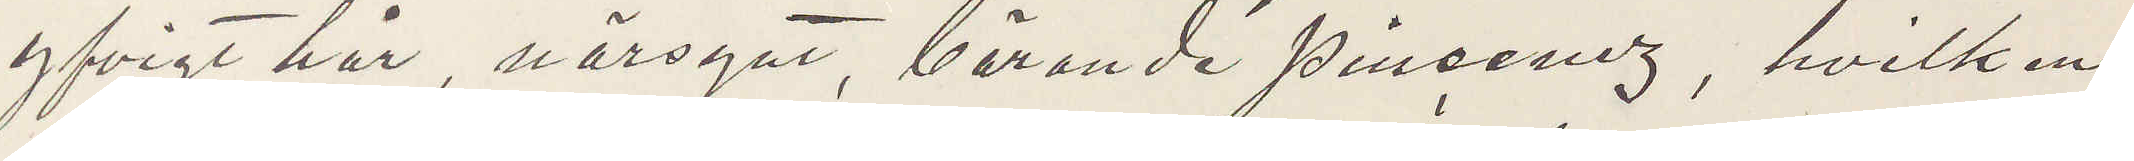yfvigt hår, närsynt, bärande pincenez, hvilken
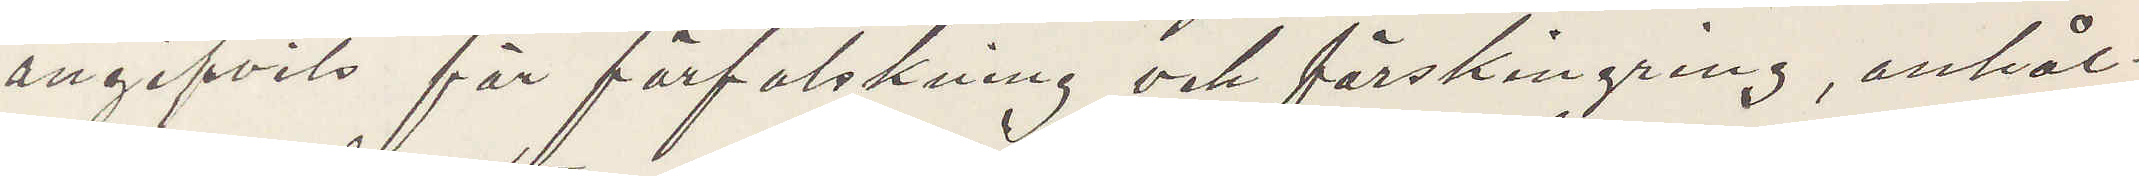angifvits för förfalskning och förskingring, anhål¬
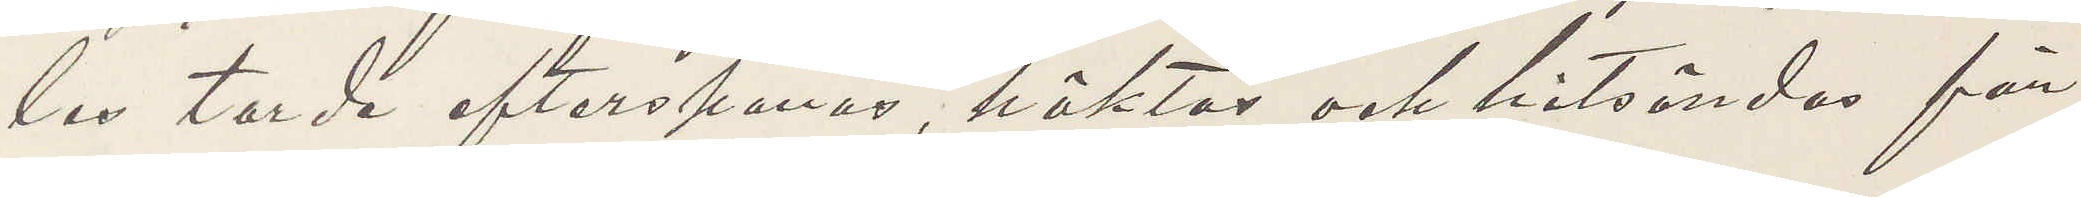les torde efterspanas, häktas och hitsändas för
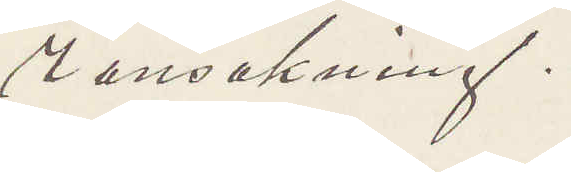ransakning.
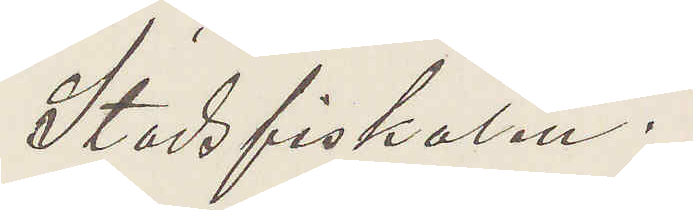Stadsfiskalen.
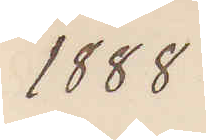1888
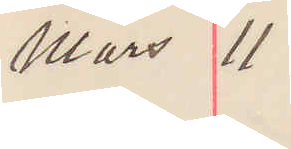Mars 11
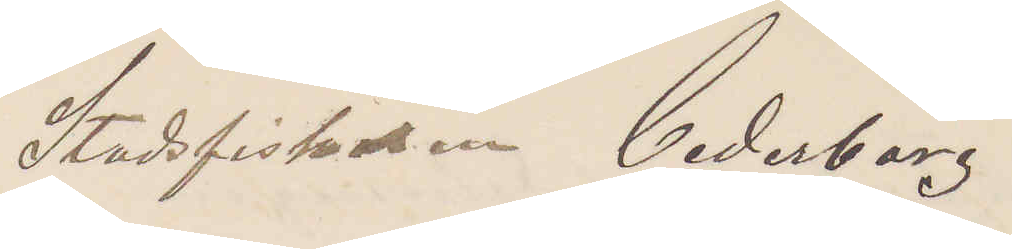Stadsfiskalen Cederborg
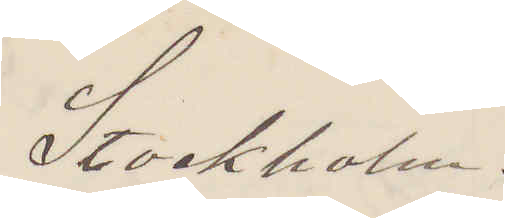Stockholm.
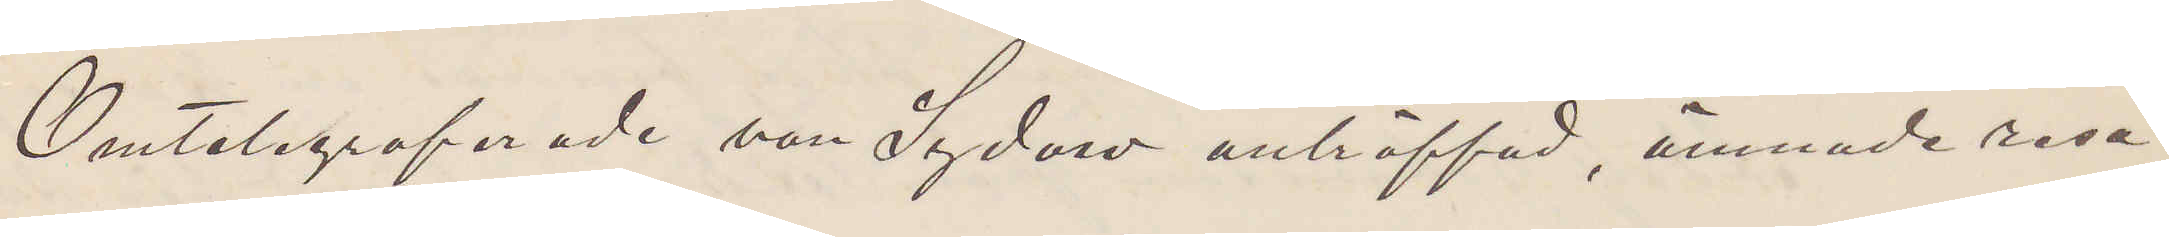Omtelegraferade von Sydow anträffad, ämnade resa
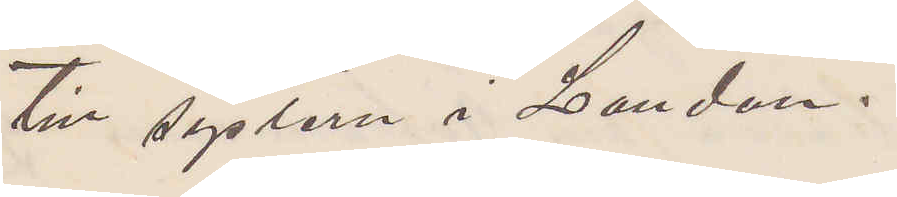till systern i London.
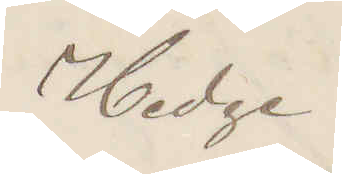Hedge
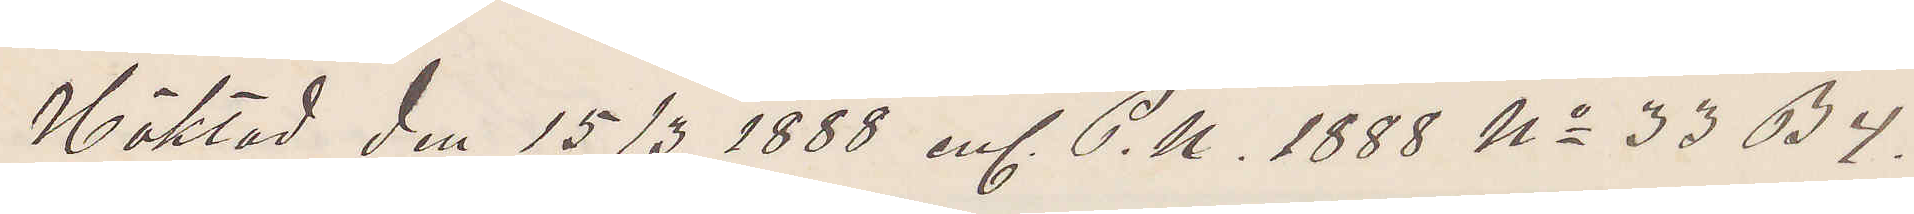Häktad den 15/3 1888 enl. P. U. 1888 No 33 B 4.
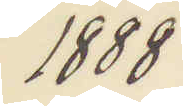1888
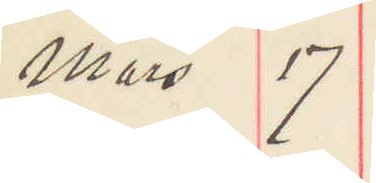Mars 17
